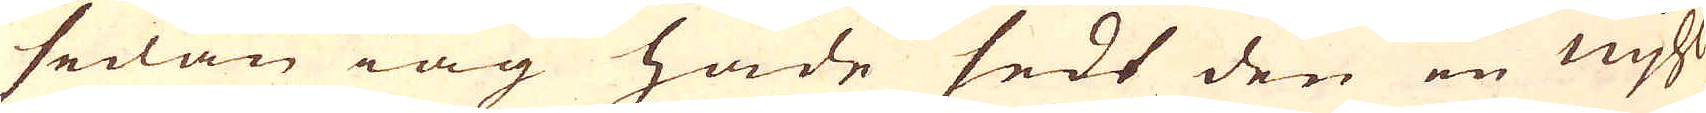sedan iag hade sedt den en mjhl
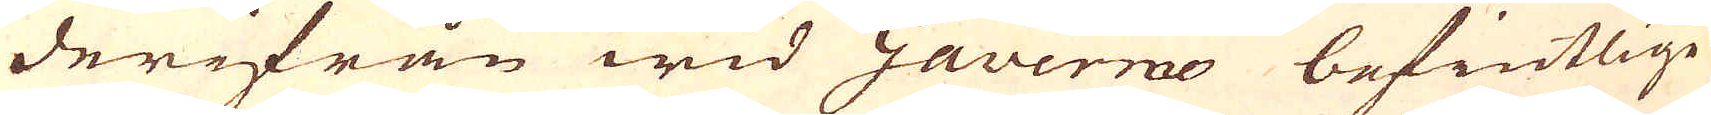derifrån wid Gavermo befintlige
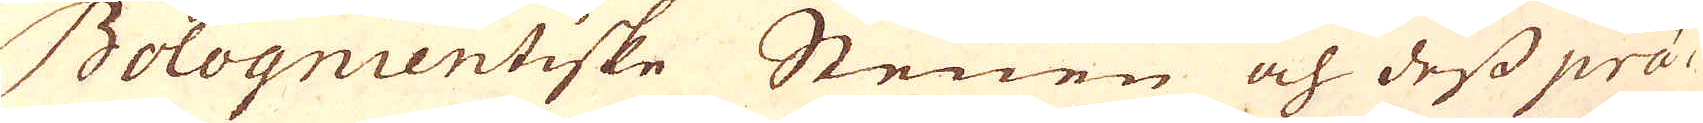Bolognientiske Stenen och dess prä-
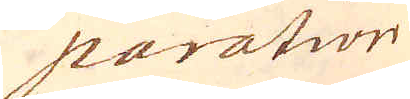paration
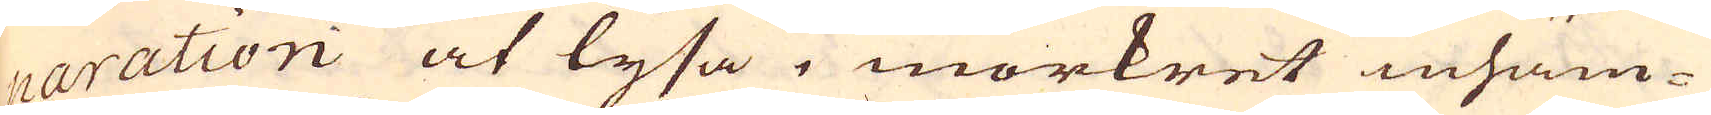paration at lysa i mörkret inhäm-
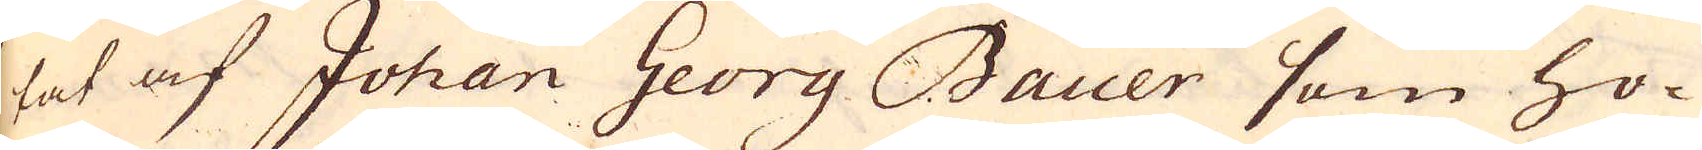tat af Johan Georg Bauer som ho-
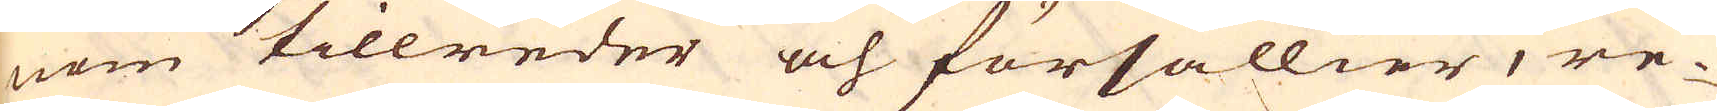nom tillreder och försällier, re-
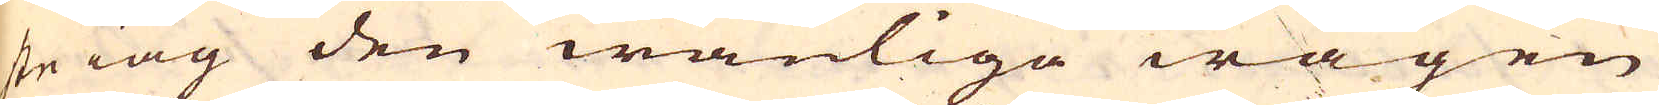ste iag den wanliga wägen
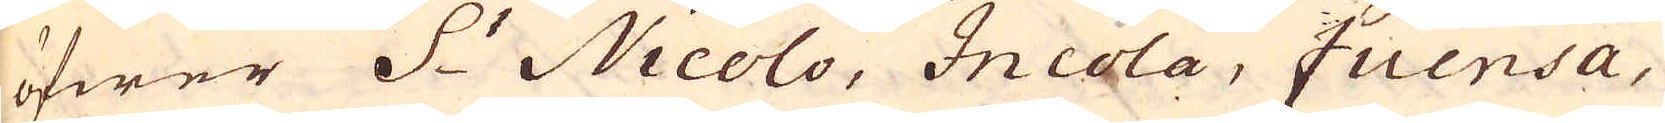öfwer S:t Nicolo, Incola, Fuensa,
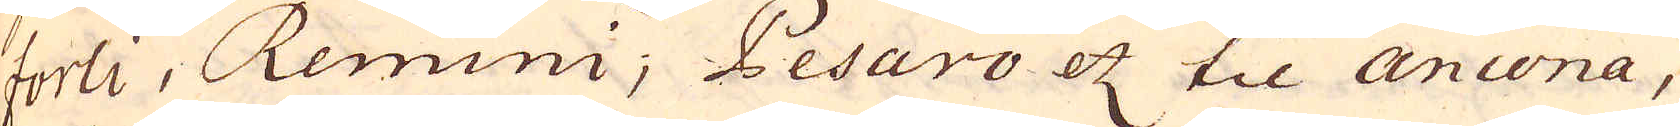Forli, Remini; Pesaro etc til Ancona,
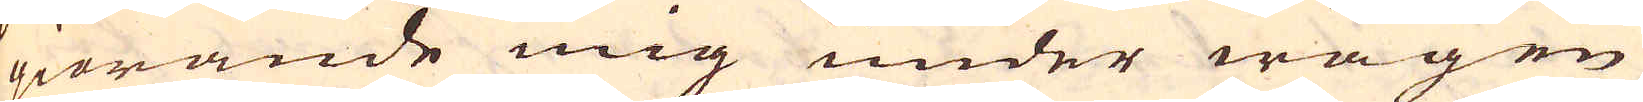giörande mig under wägen
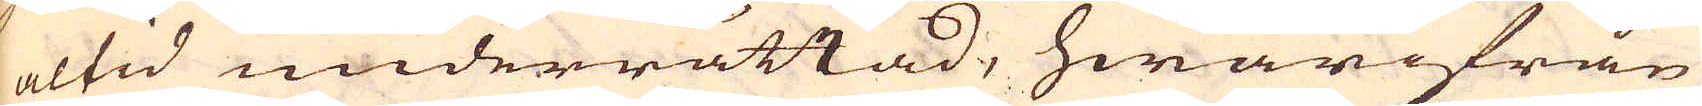altid underrättad, hwarifrån
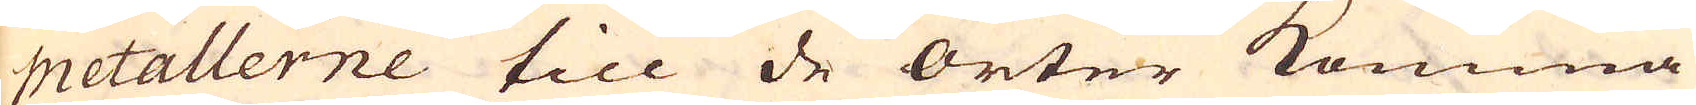metallerne till de orter komma
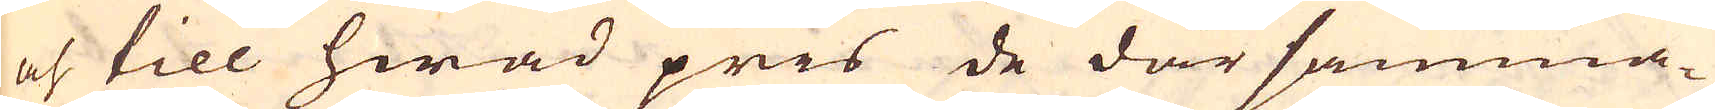och till hwad pris de där samma-
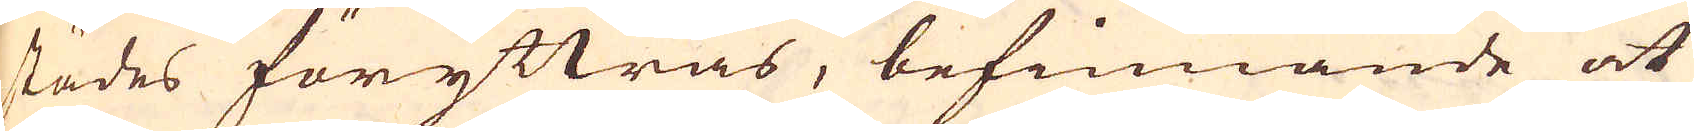städes föryttras, befinnande at
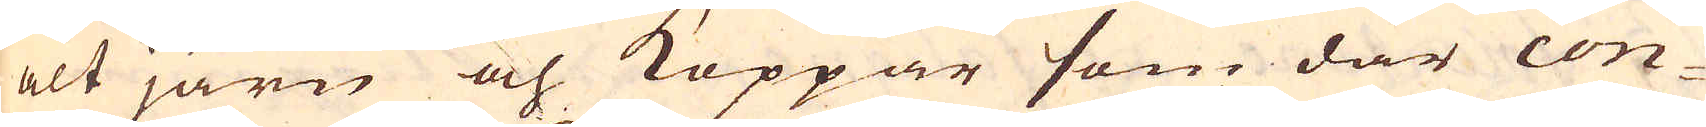alt järn och Koppar som där con-
